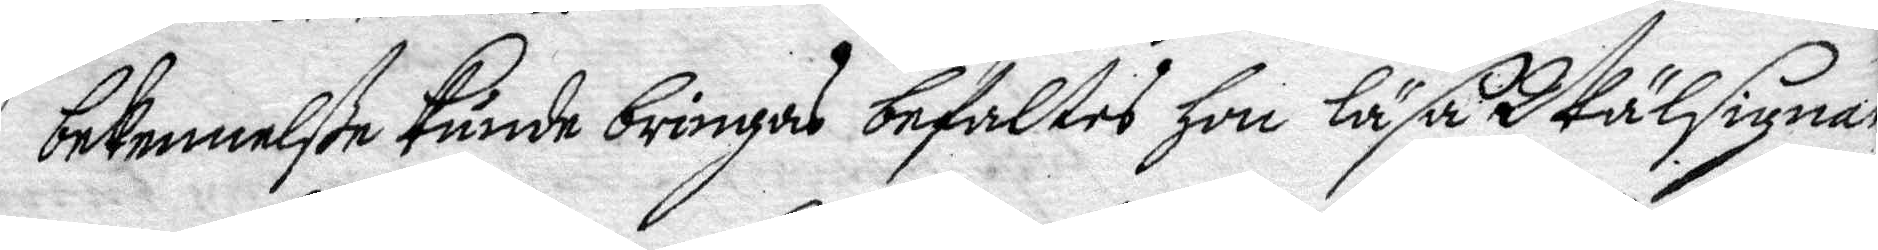bekennelße kunde bringas befaltes hon läsa Wälsignad
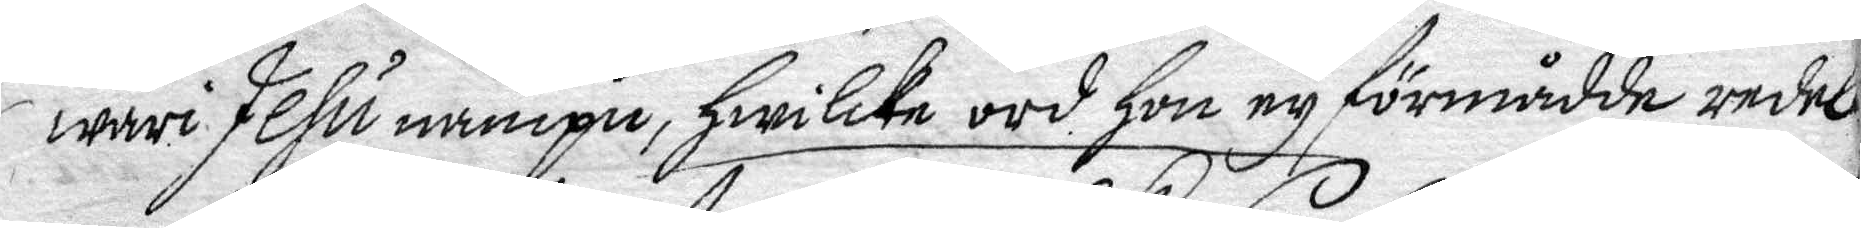wari Jesu nampn, hwilke ord hon ey förmådde redeli¬
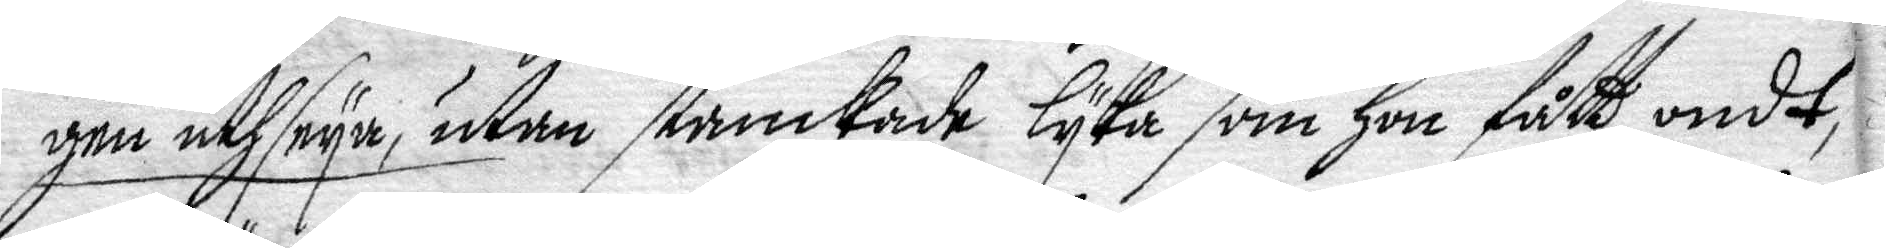gen uthseya, utan stanckade lyka som hon fått ondt,
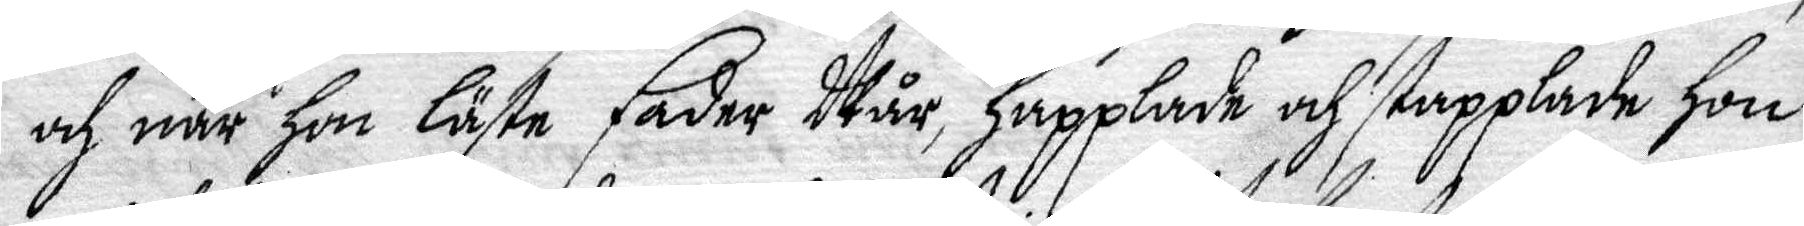och när hon läste fader Wår, happlade och stapplade hon
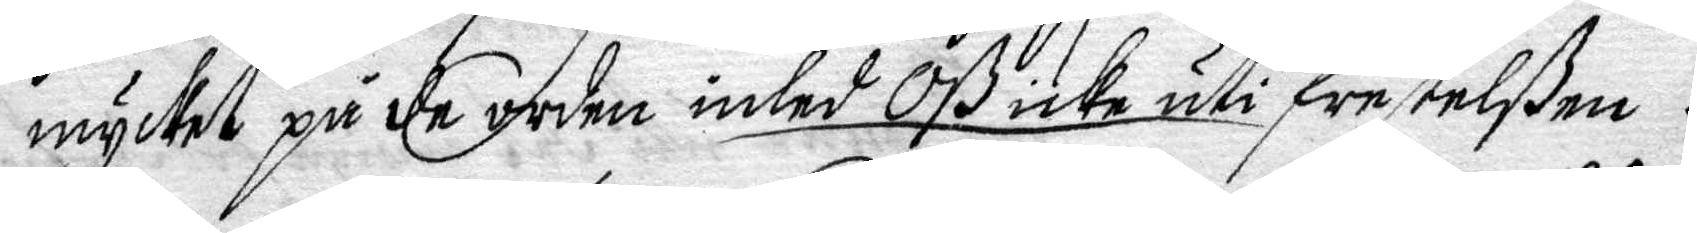mycket på de orden inled oß icke uti frestelßen.
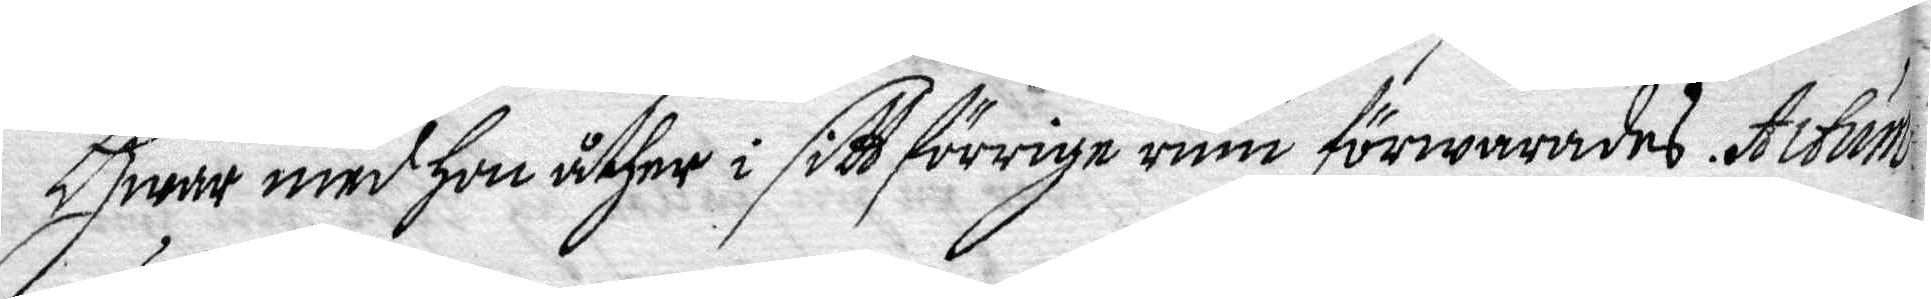Hwar med hon åther i sitt förrige rum förwarades. Actum
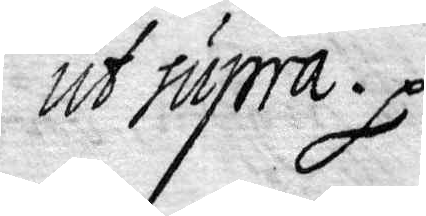ut supra.
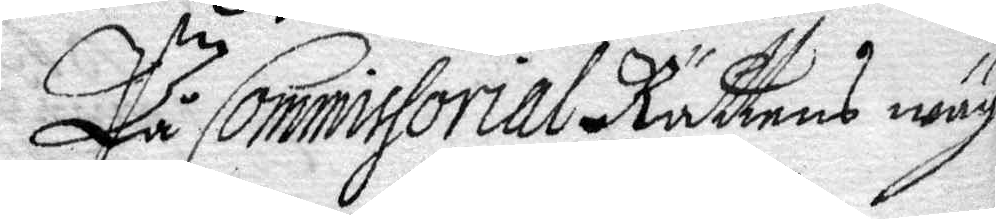På Commissorial Rättens wäg.
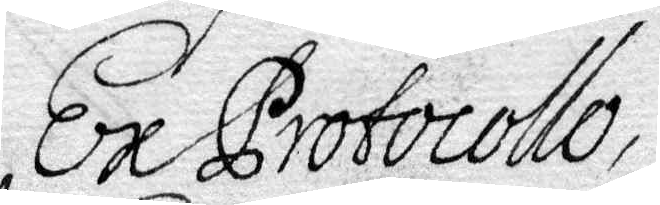Ex Protocollo,
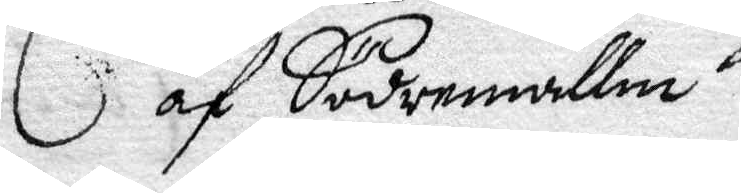af Södermallm
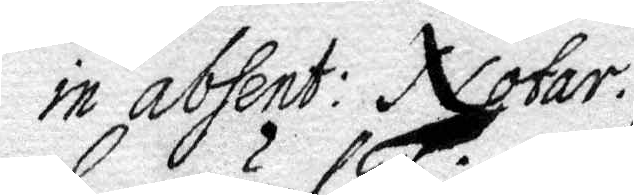in absent: Notar
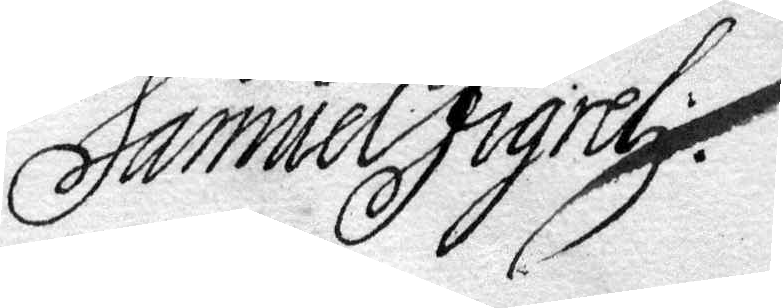Samuel Figrel
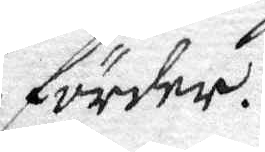förder.
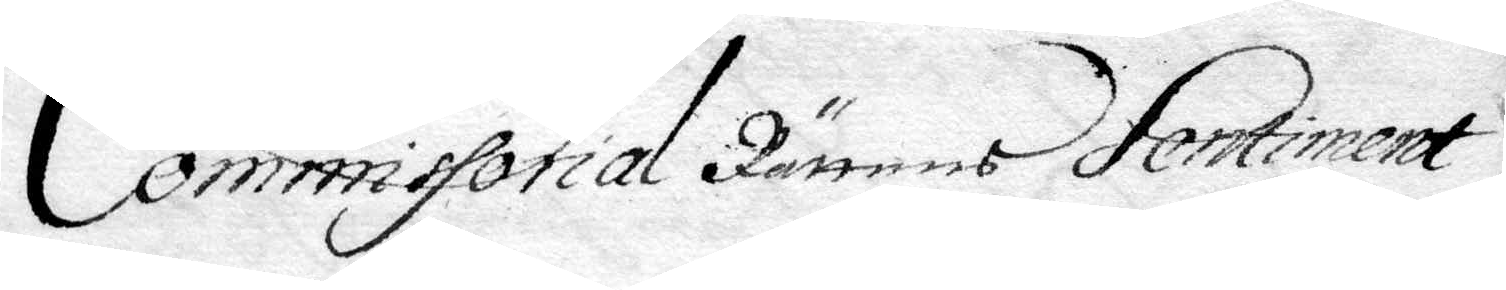Commissorial Rättens Sentiment
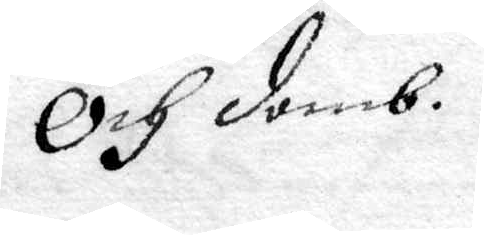och domb.
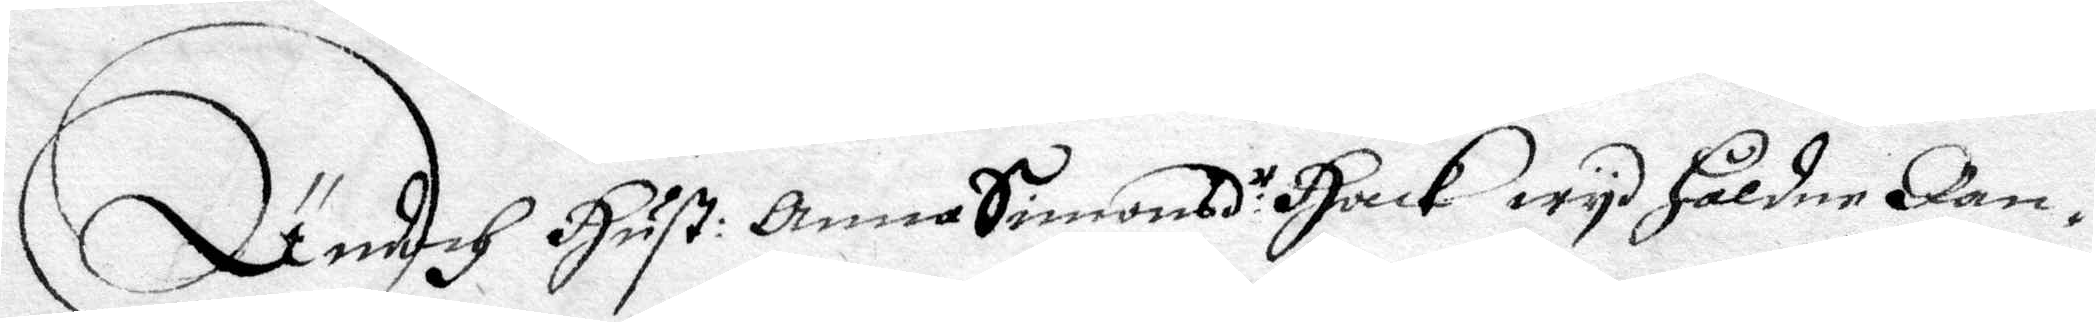Ändoch hust: Anna Simons:r Hack wyd håldne Ran¬
